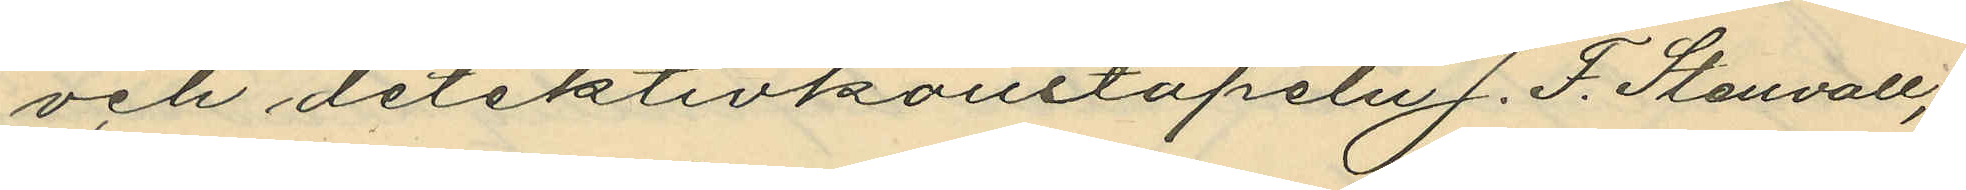och detektivkonstapeln J. F. Stenvall,
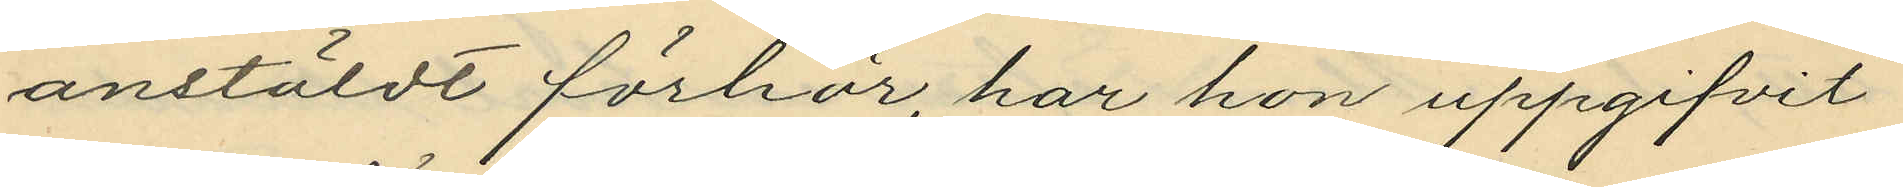anstäldt förhör, har hon uppgifvit
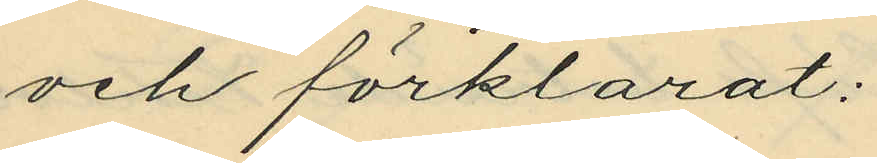och förklarat:
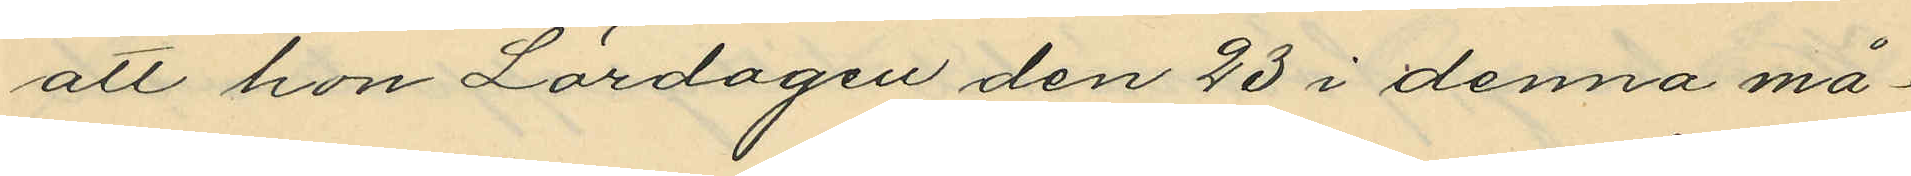att hon Lördagen den 23 i denna må¬
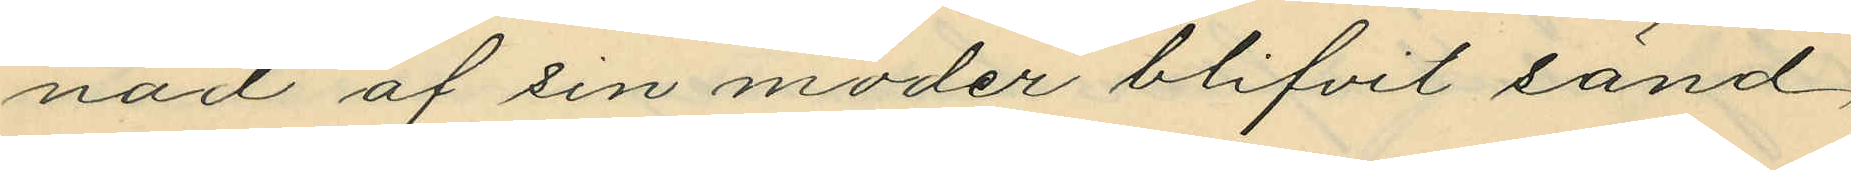nad af sin moder blifvit sänd
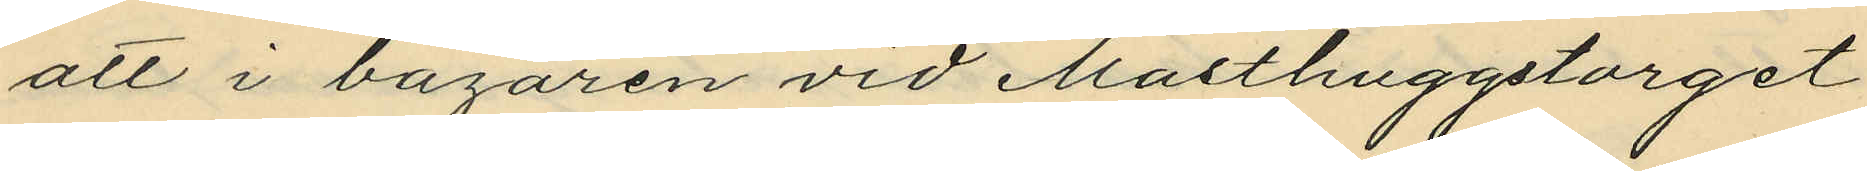att i bazaren vid Masthuggstorget
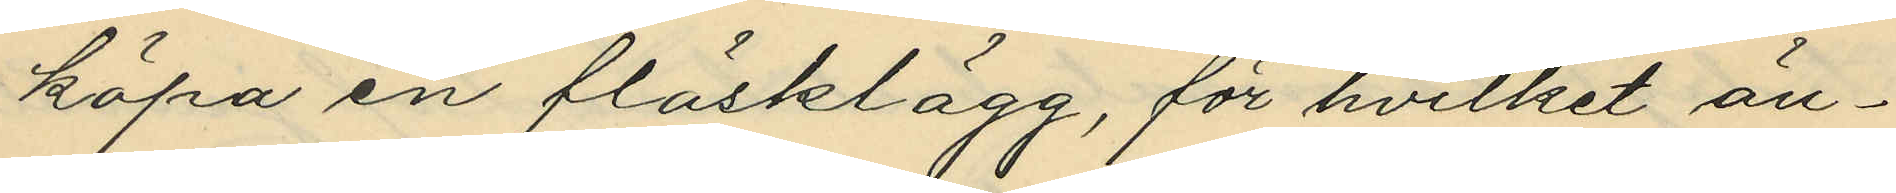köpa en fläsklägg, för hvilket än¬
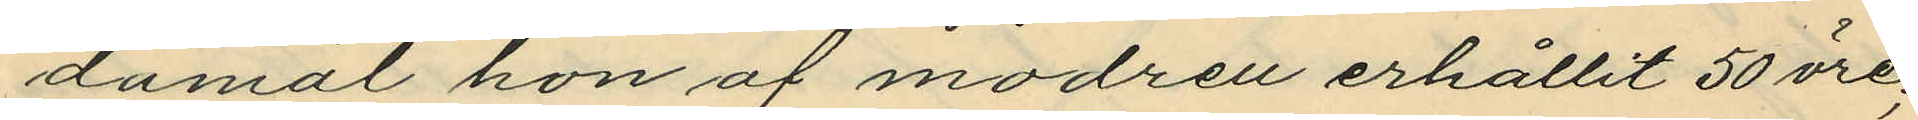damål hon af modren erhållit 50 öre;
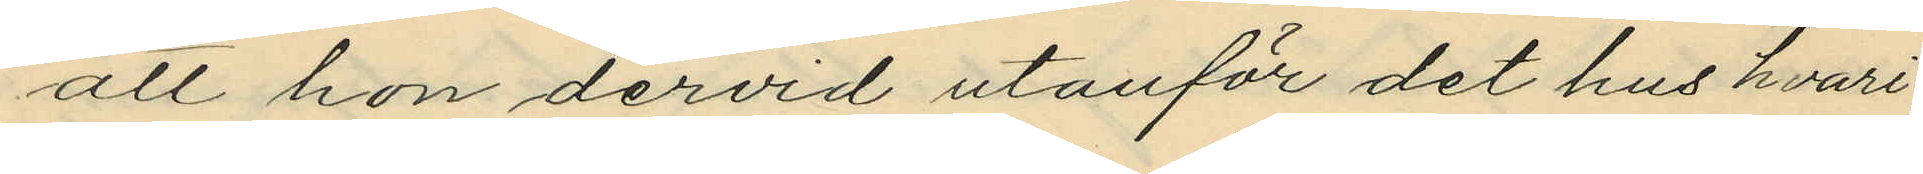att hon dervid utanför det hus hvari
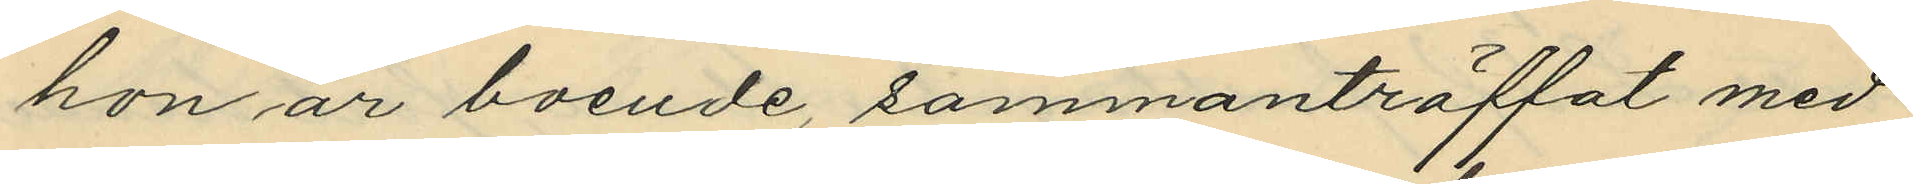hon är boende, sammanträffat med
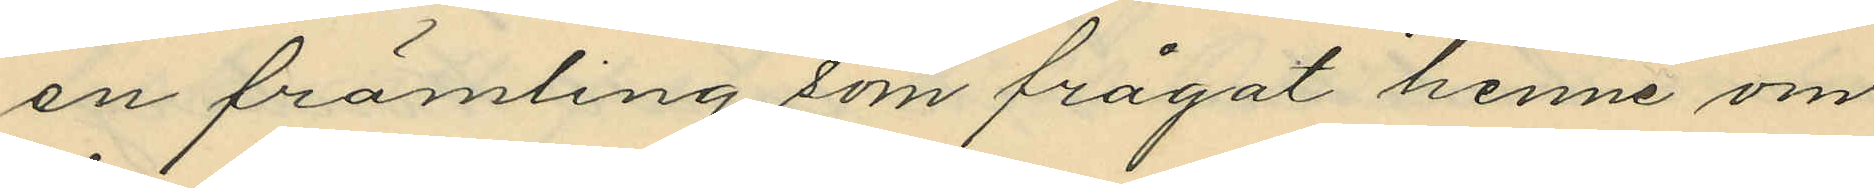en främling som frågat henne om
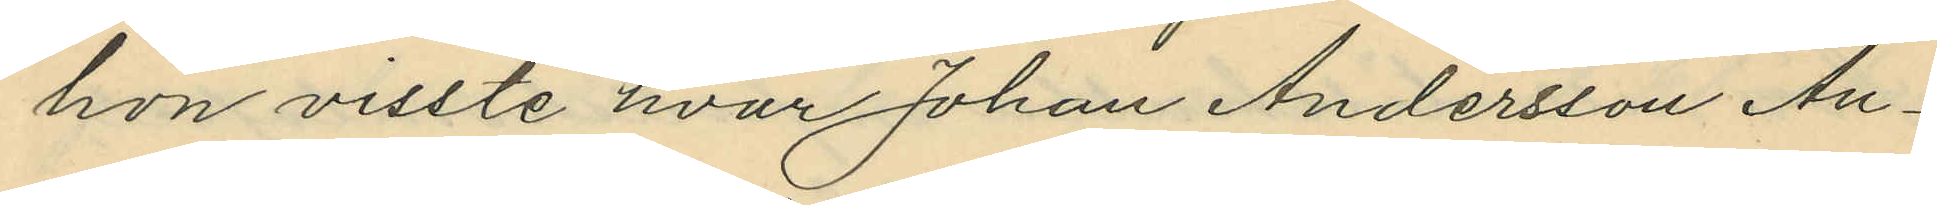hon visste hvar Johan Andersson An¬
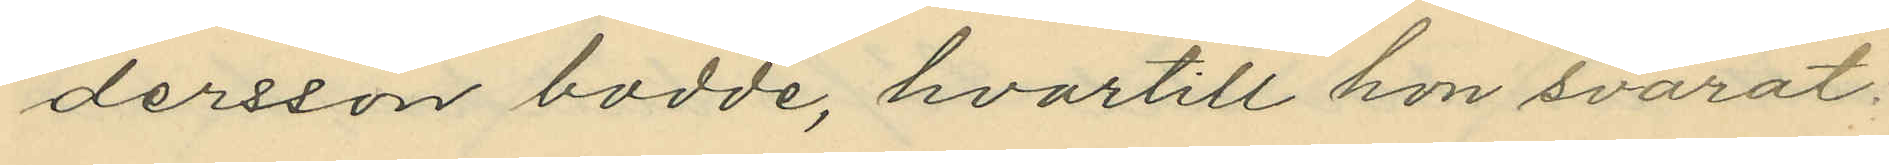dersson bodde, hvartill hon svarat:
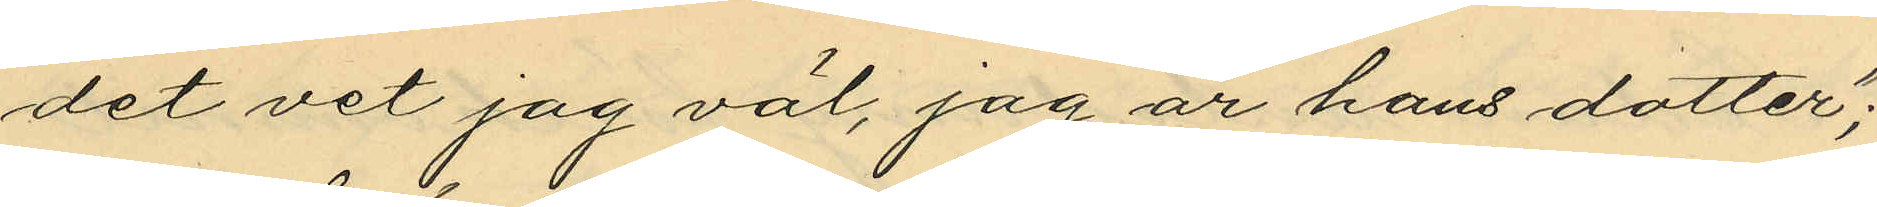"det vet jag väl, jag är hans dotter";
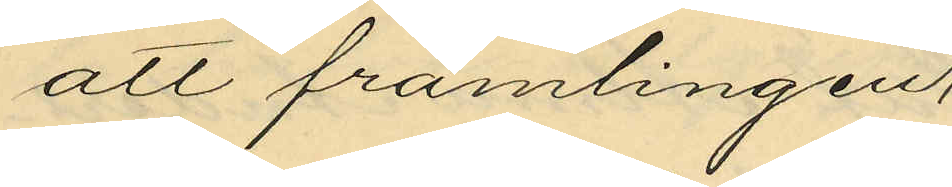att främlingen;
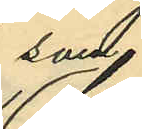som
